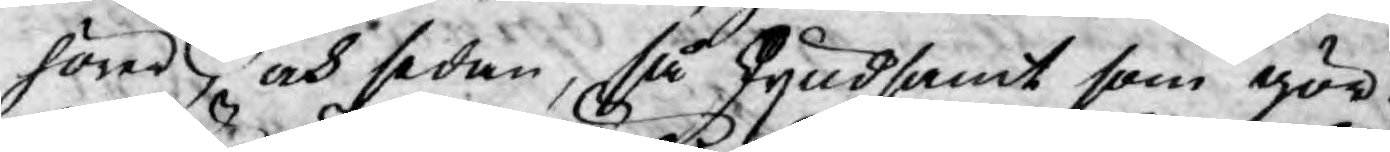höres, och sedan, så skyndsamt som gör¬
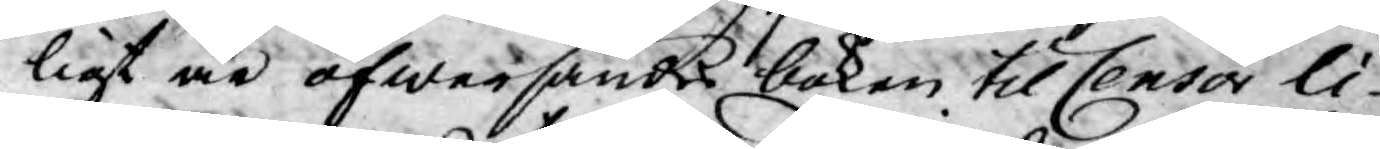ligt är öfwersändes boken till Censor li¬
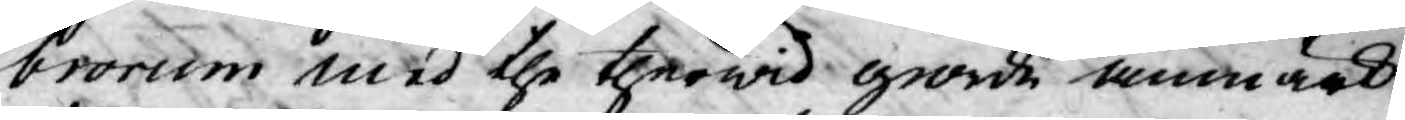brorum med the therwid giorde anmärk¬
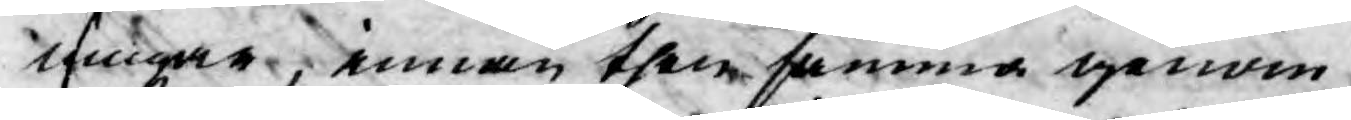ningar, innan them samma genom
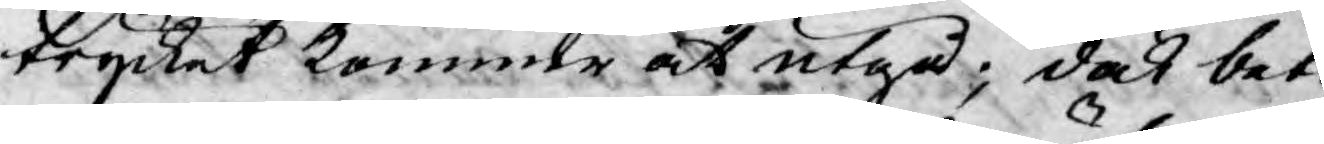trycket kommer at utgå; dock beta¬
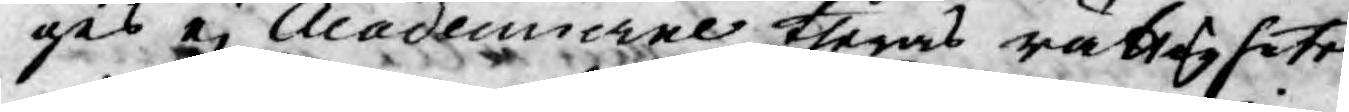ges ej Academierne theras rättigheter
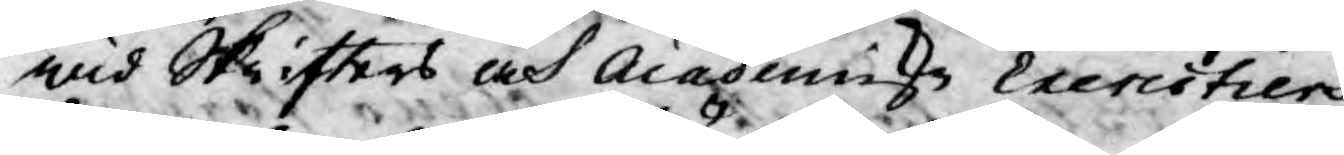wid Skrifters och Academiz Exercitiers
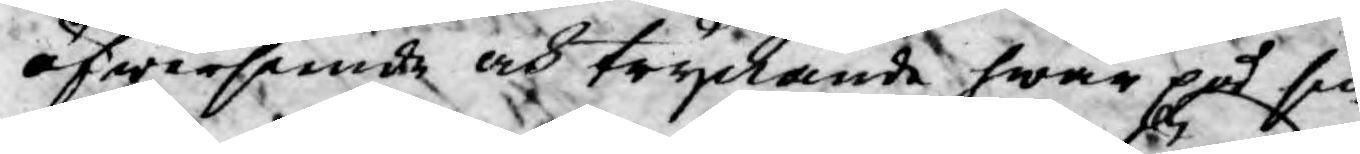öfwerseende och tryckande hwar på sin
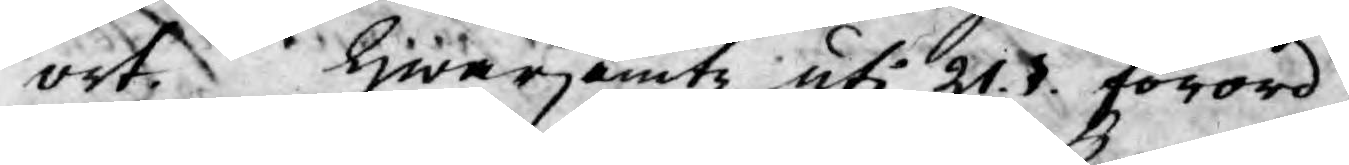ort, Hwarjemte uti 21§. förord¬
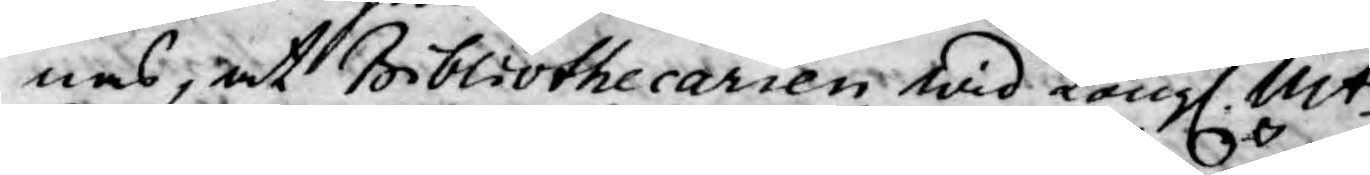nas, at Bibliothecarien wid Kongl. Mts
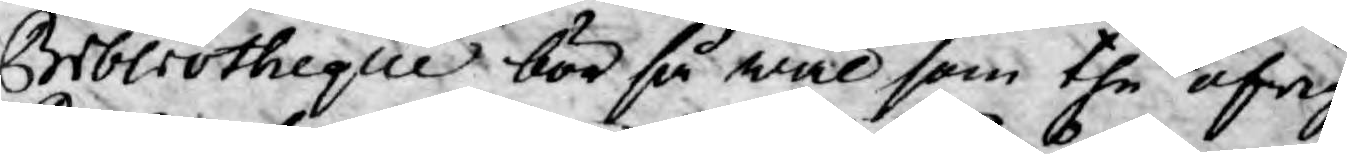Bibliotheque bör så wäl som the öfrige
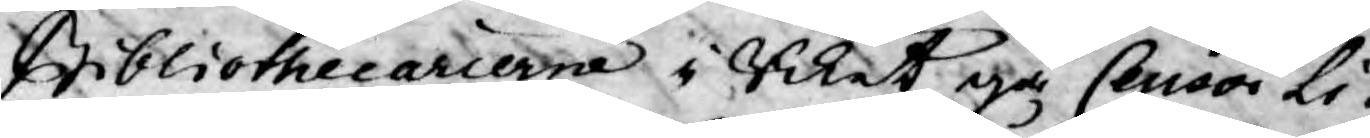Bibliothecarierne i Riket gå Censor Li¬
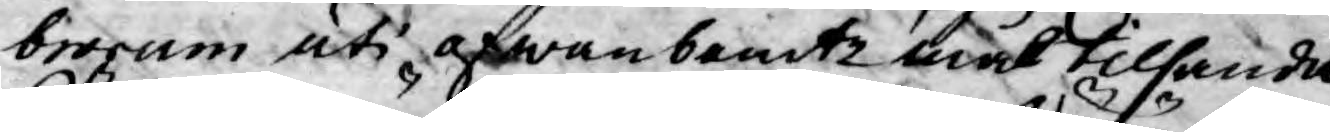brorum uti ofwanbemte mål tilhanda.
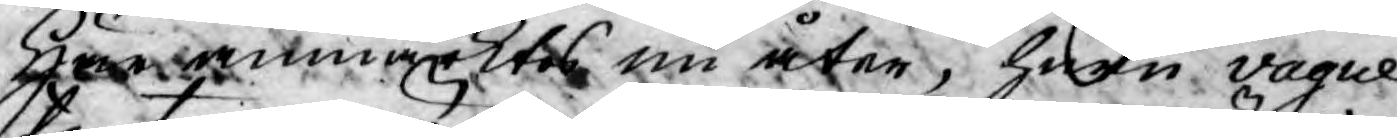Här anmärktes nu åter, huru vague
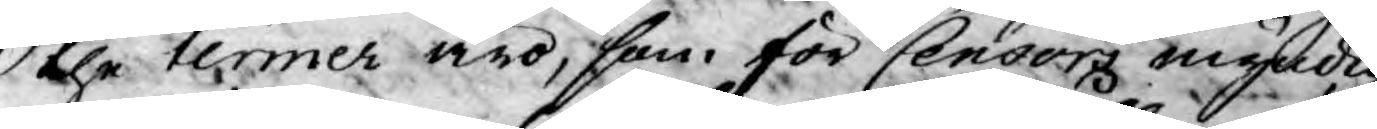the termer äro, som för Censorz myndig¬
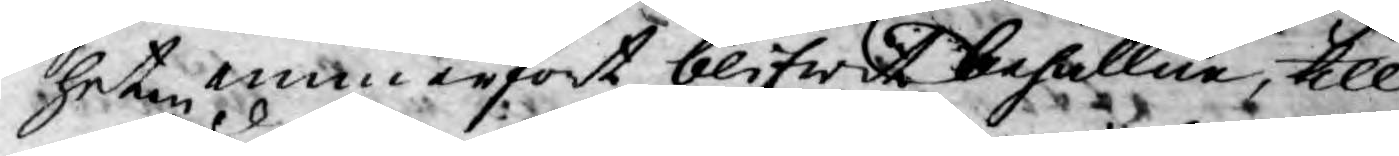heten innerfört blifwit behållne, till
